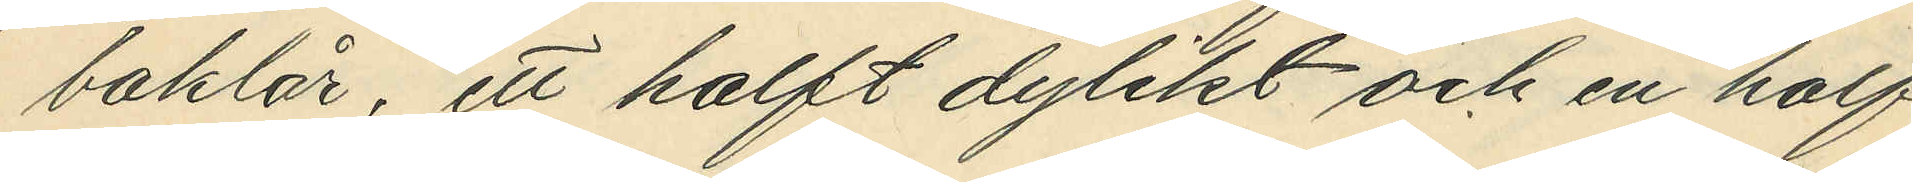baklår, ett halft dylikt och en half
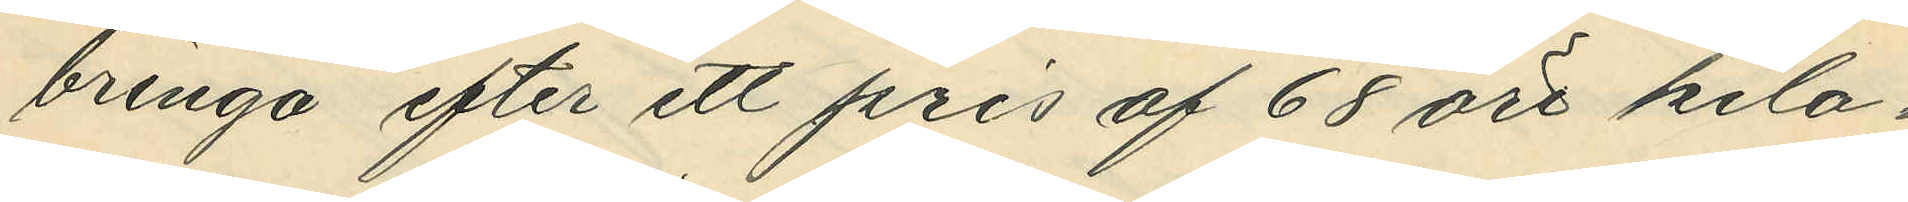bringa efter ett pris af 68 öre kilo¬
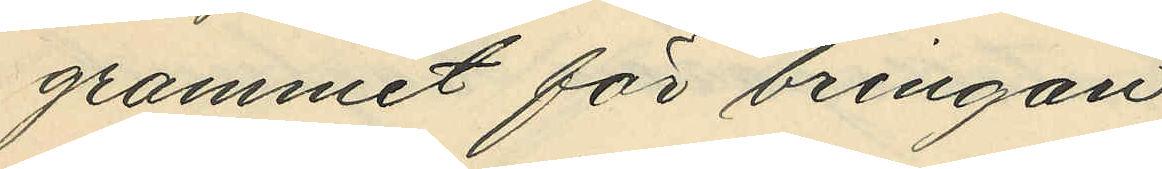grammet för bringan,
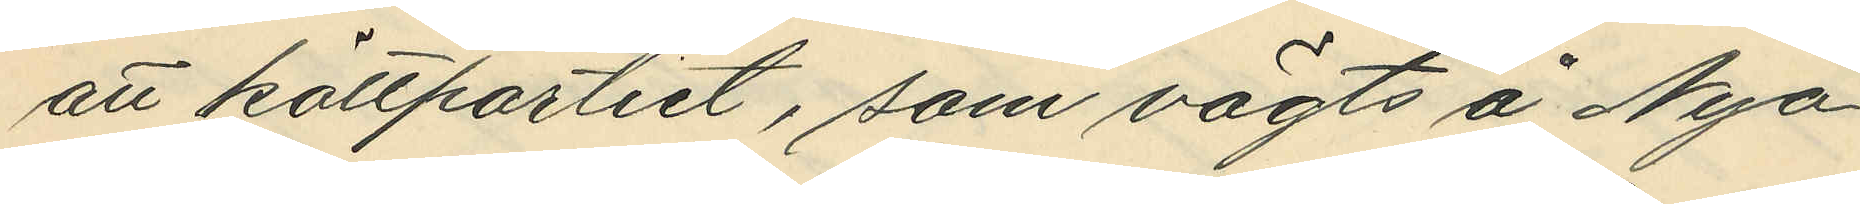att köttpartiet, som vägts å Nya
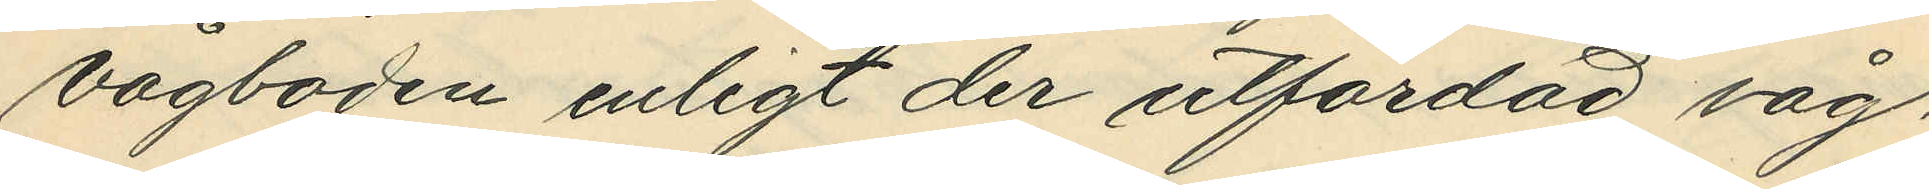Vågboden enligt der utfärdad våg¬
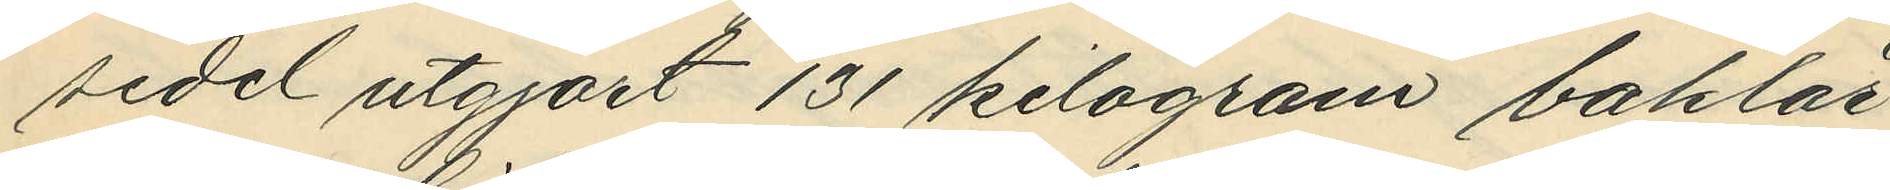sedel utgjort 131 kilogram baklår
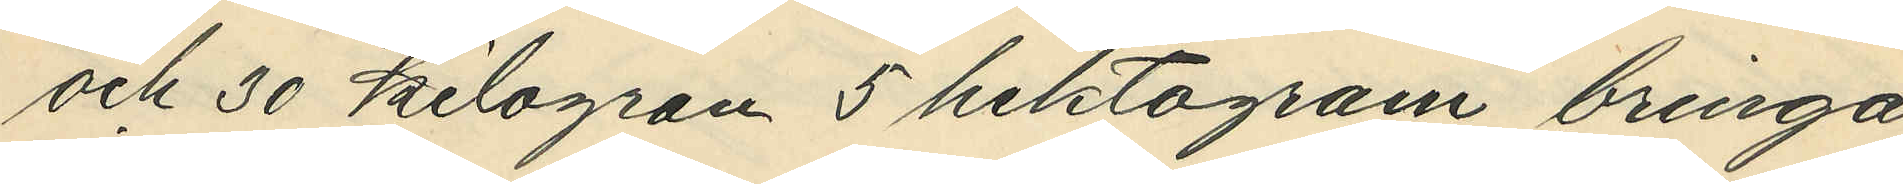och 30 kilogram 5 hektogram bringa
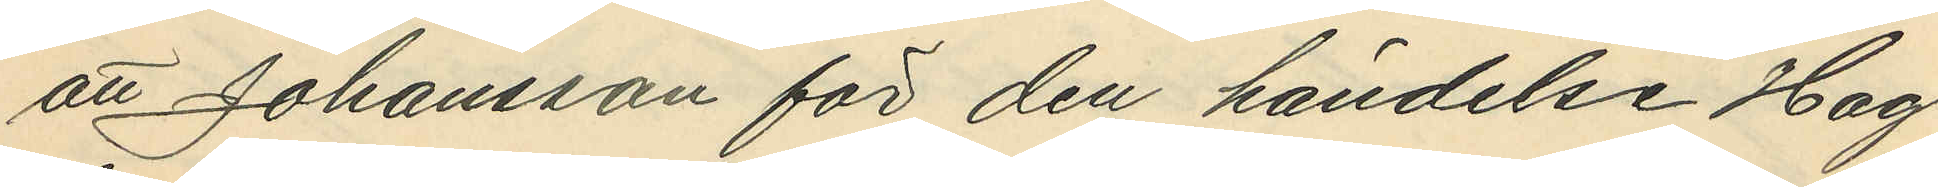att Johansson för den händelse Hag¬
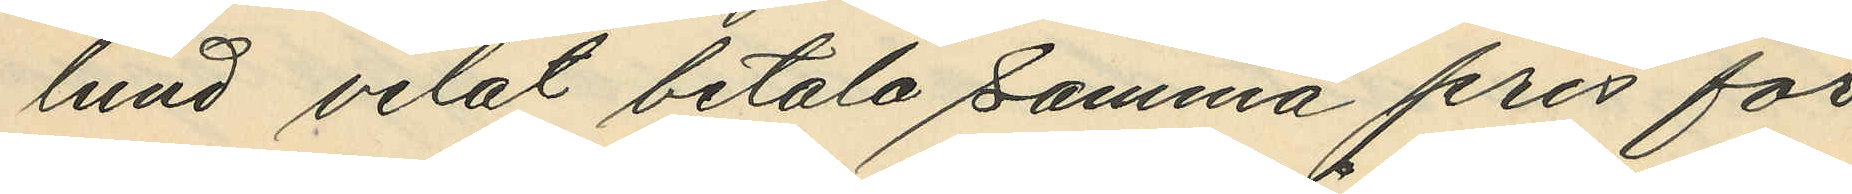lund velat betala samma pris för
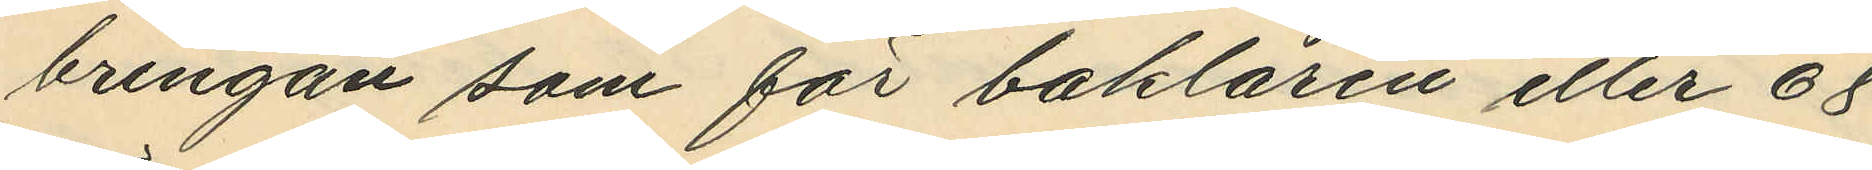bringan som för baklåren eller 68
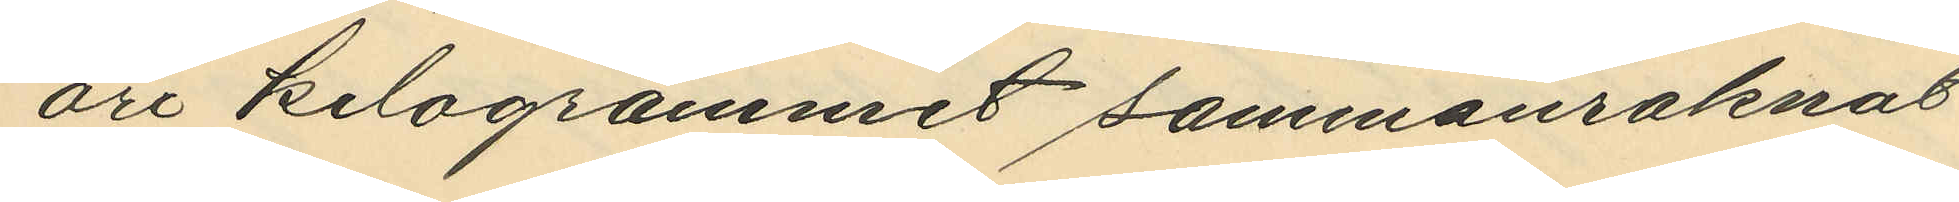öre kilogrammet sammanräknat
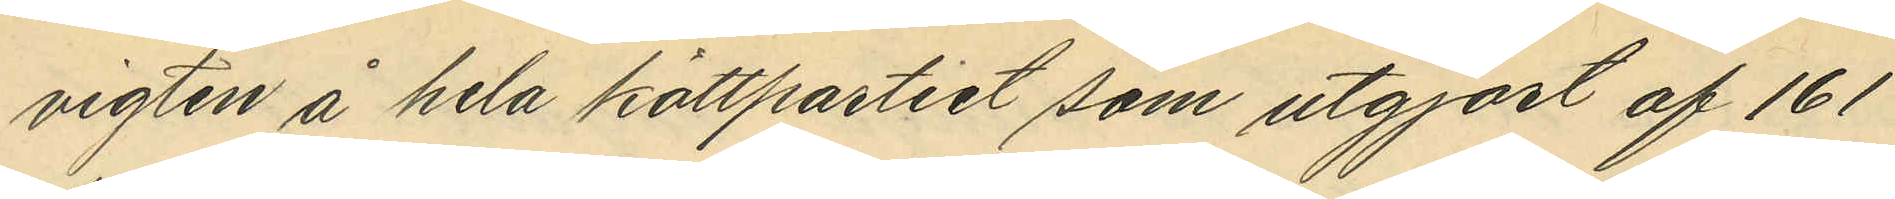vigten å hela köttpartiet som utgjort af 161
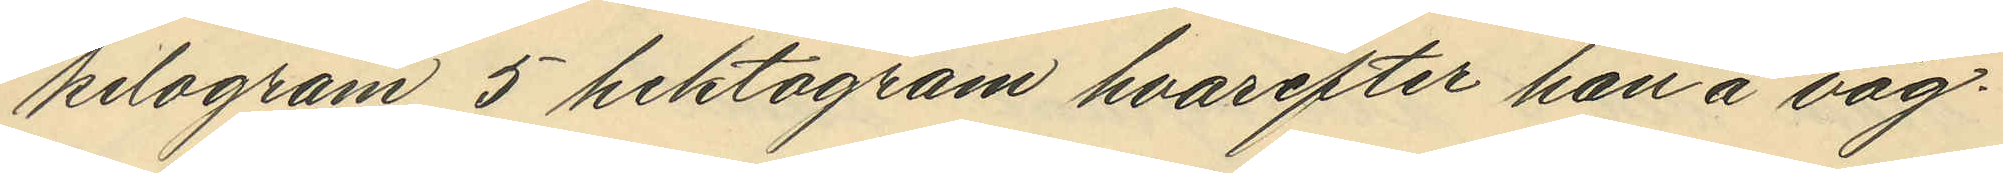kilogram 5 hektogram hvarefter han å våg¬
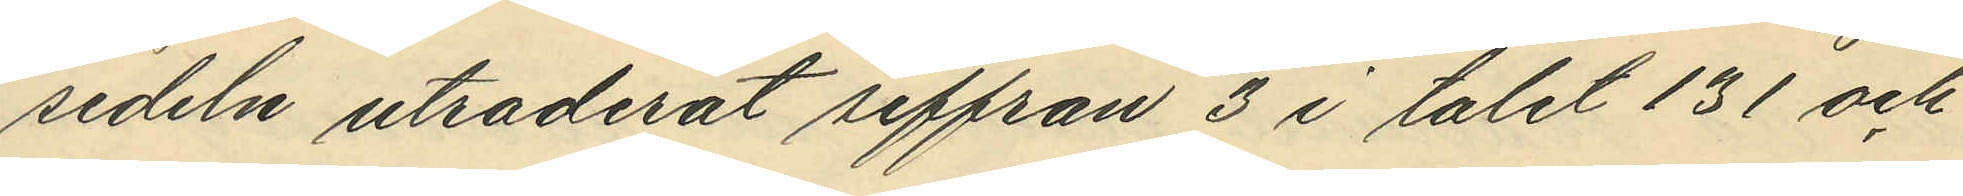sedeln utraderat siffran 3 i talet 131 och
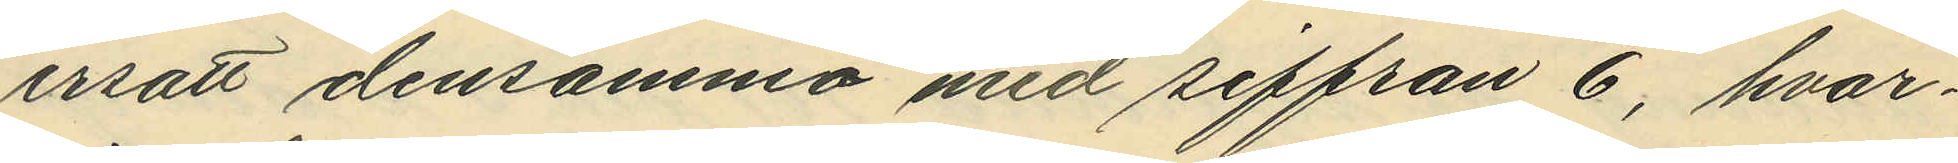ersatt densamma med siffran 6, hvar¬
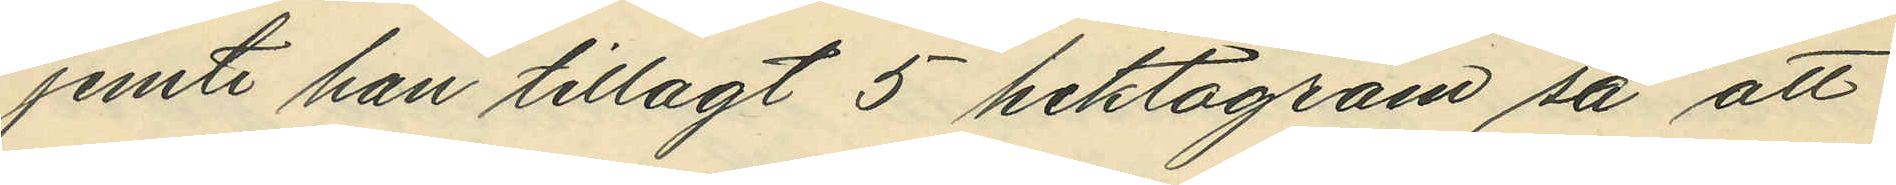jemte han tillagt 5 hektogram så att
